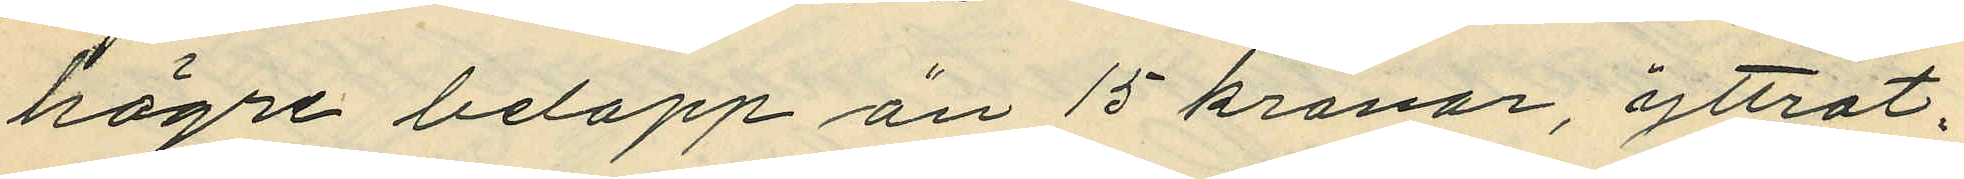högre belopp än 15 kronor, yttrat; "
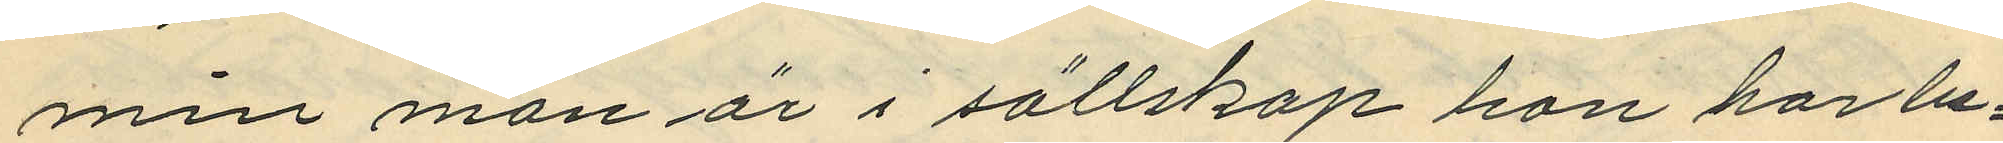min man är i sällskap han har be¬
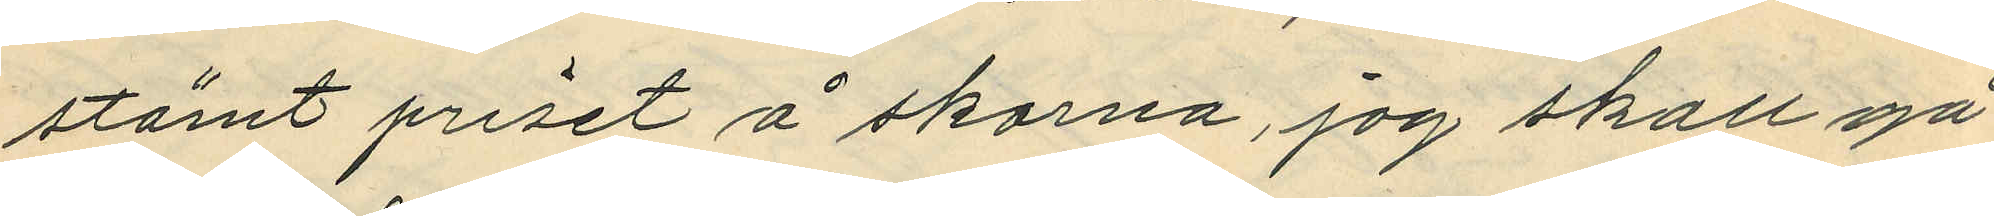stämt priset å skorna, jag skall gå
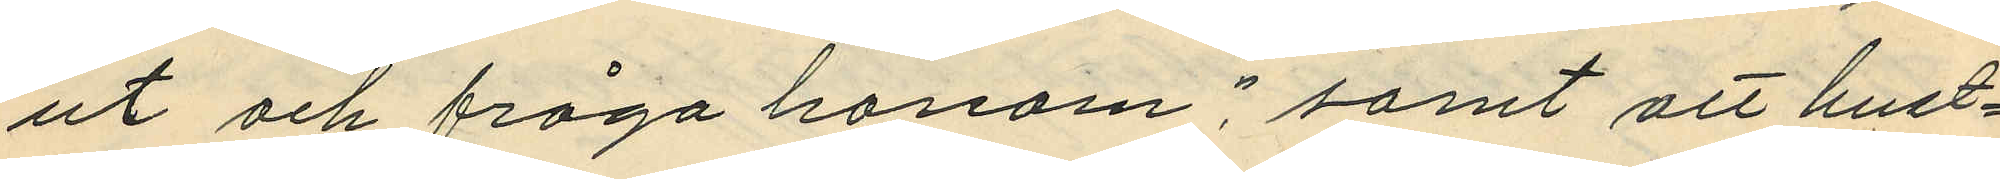ut och fråga honom", samt att hust¬
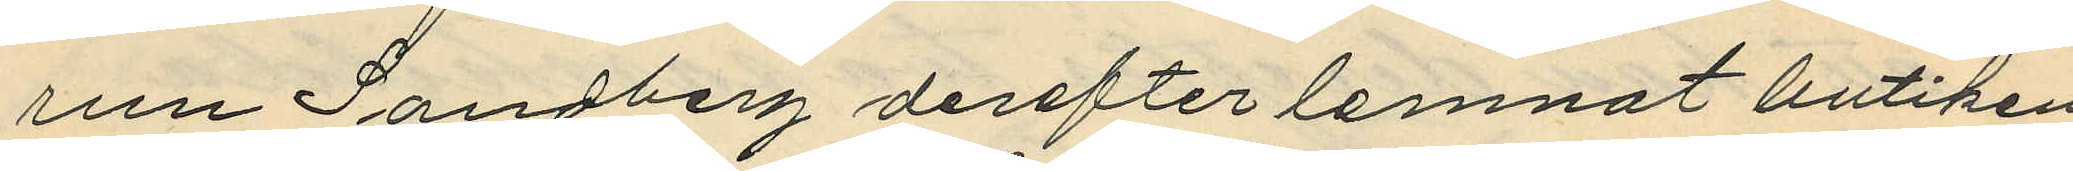run Sandberg derefter lemnat butiken
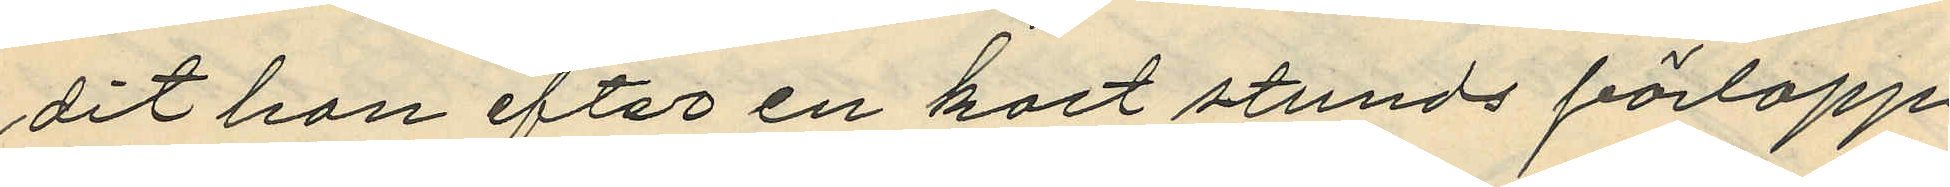dit hon efter en kort stunds förlopp
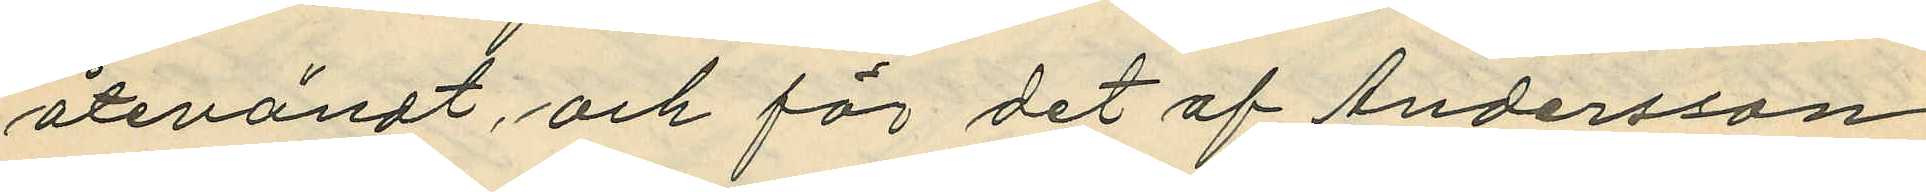återvändt och för det af Andersson
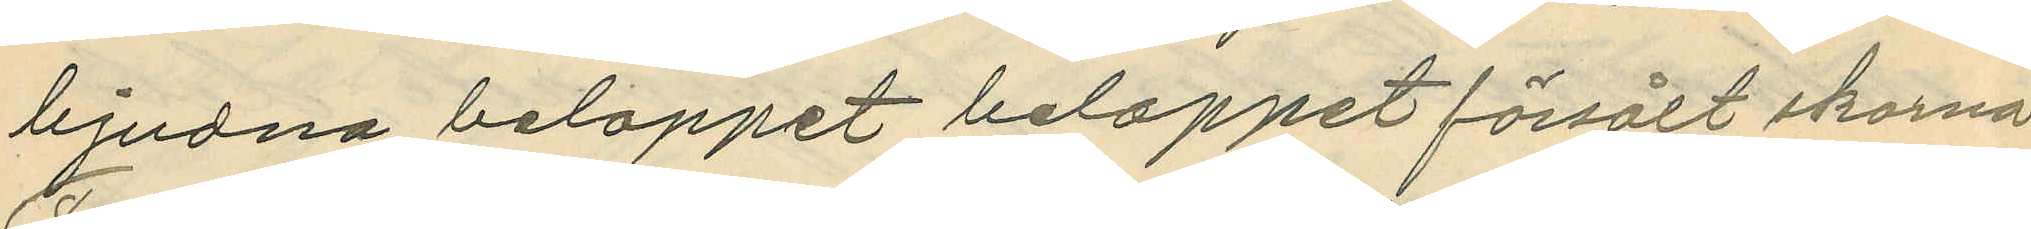bjudna beloppet beloppet försålt skorna.
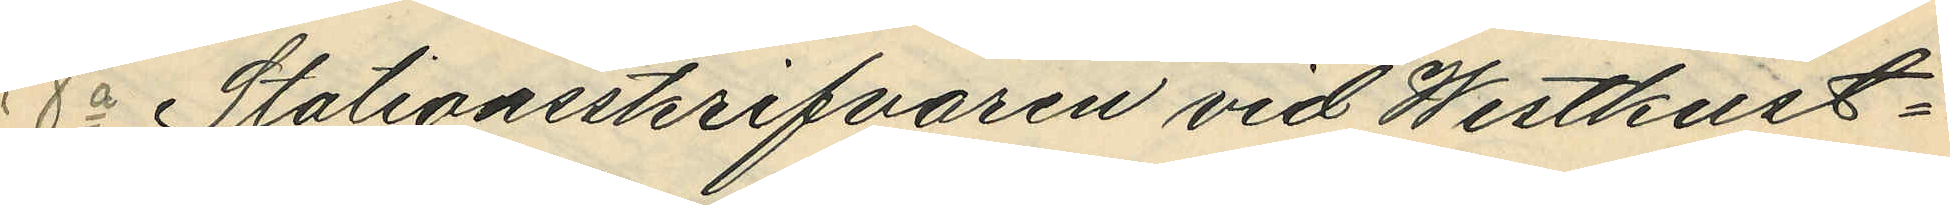8o Stationsskrifvaren vid Westkust¬
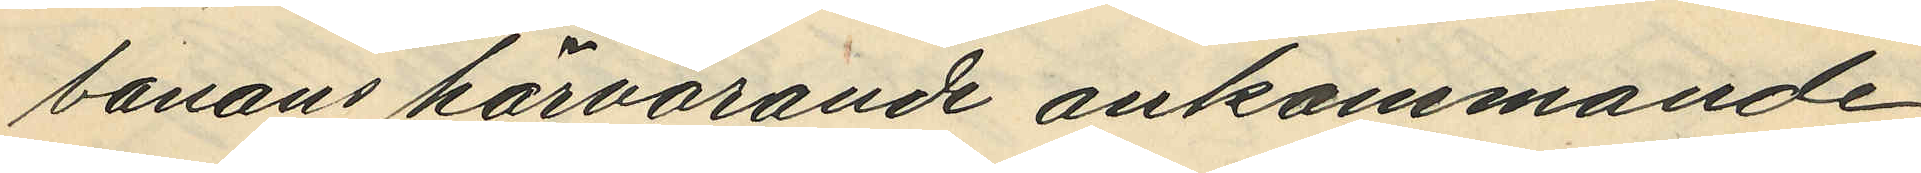banans härvarande ankommande
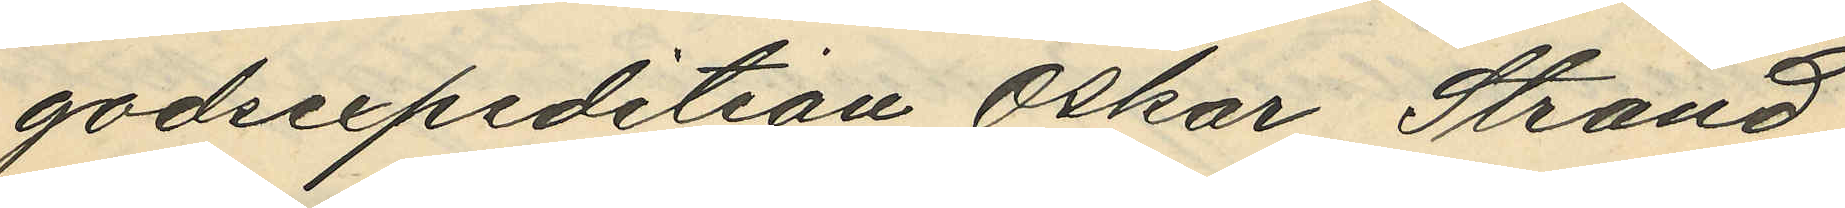godsexpedition Oskar Strand,
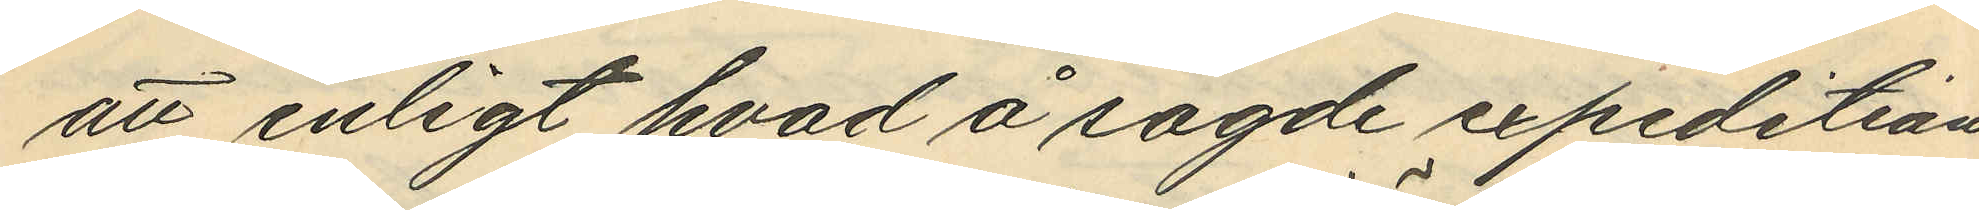att enligt hvad å sagde expedition
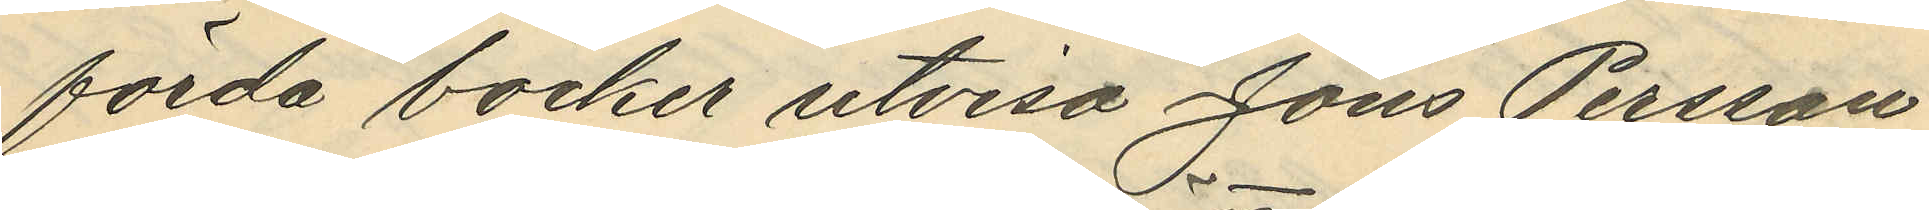förda böcker utvisa Jöns Persson
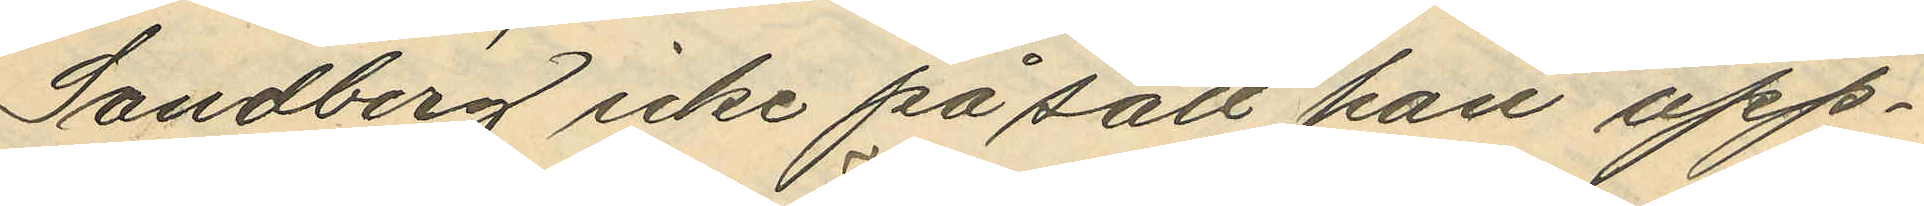Sandberg icke på sätt han upp¬
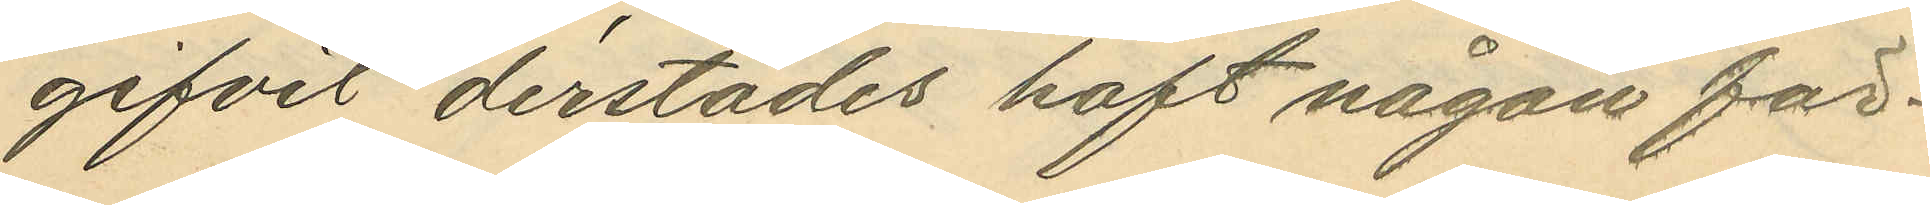gifvit derstädes haft någon för¬
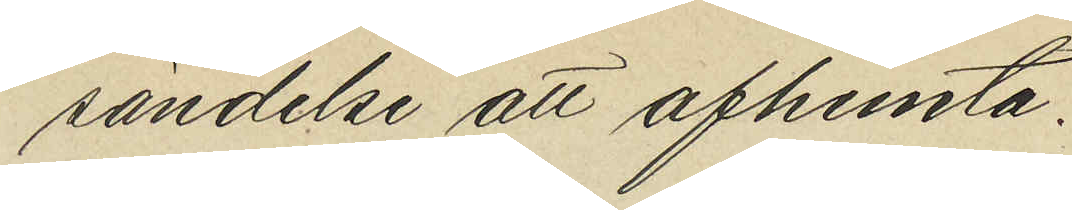sändelse att afhemta.
